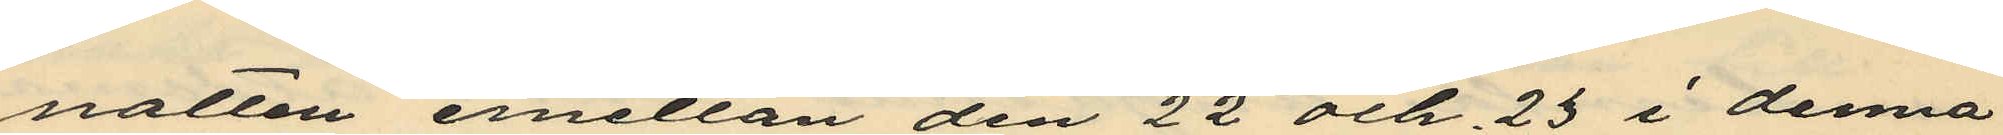natten emellan den 22 och 23 i denna
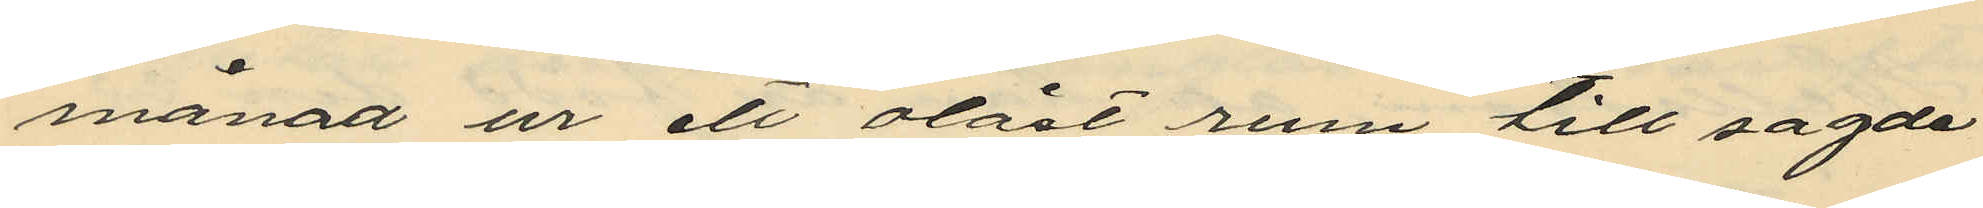månad ur ett olåst rum till sagde
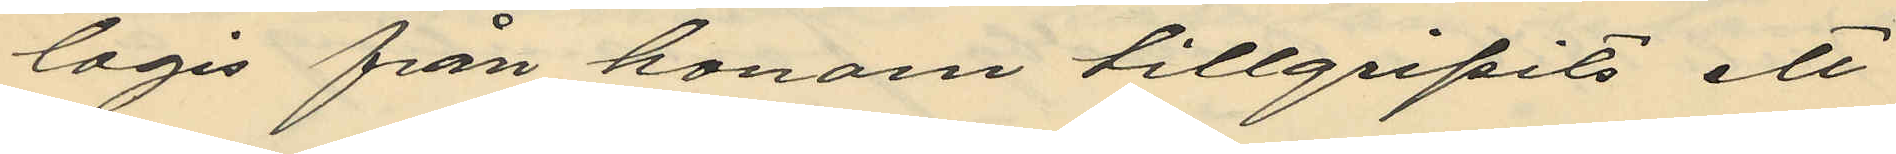logis från honom tillgripits ett
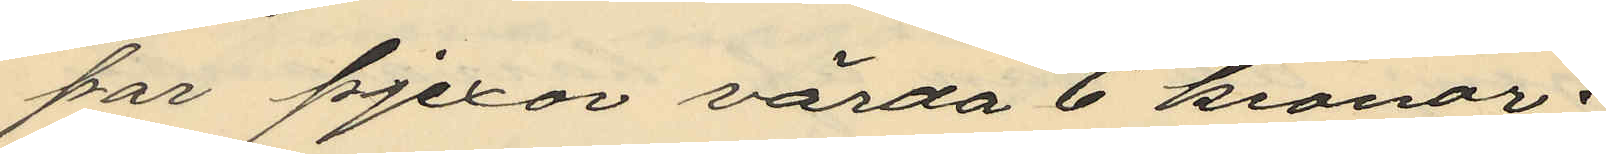par pjexor värda 6 kronor.
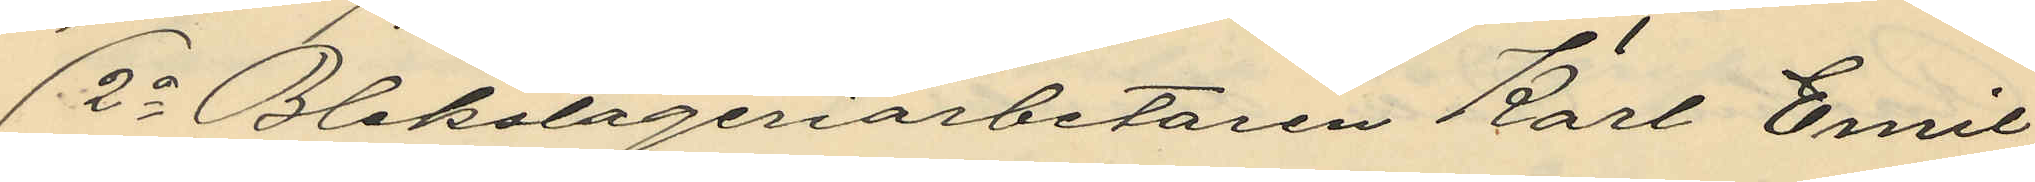2o Blekslageriarbetaren Karl Emil
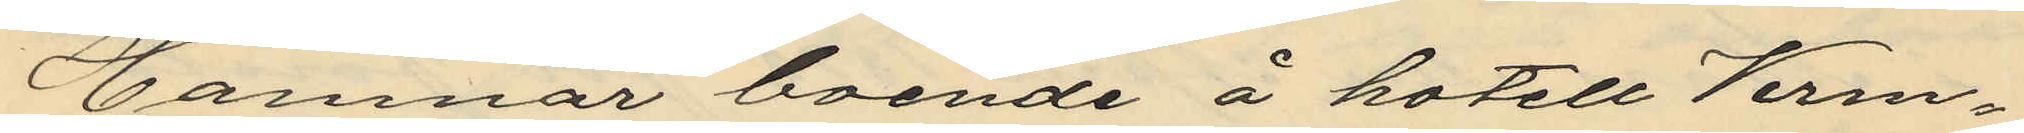Hammar boende å hotell Verm¬
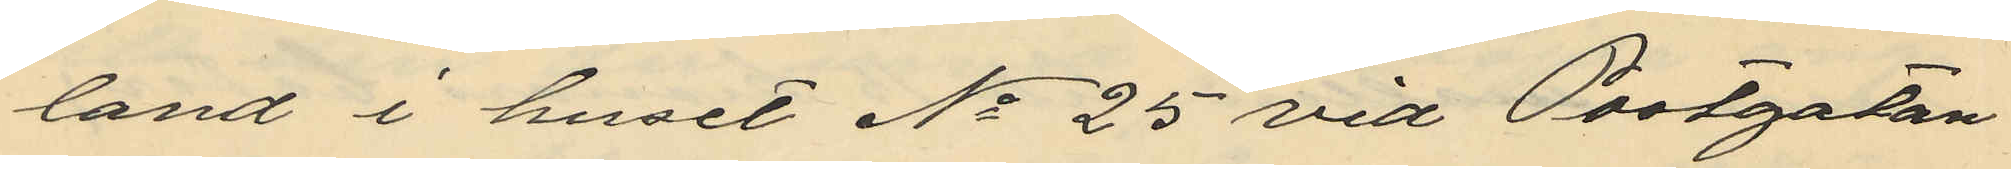land i huset No 25 vid Postgatan
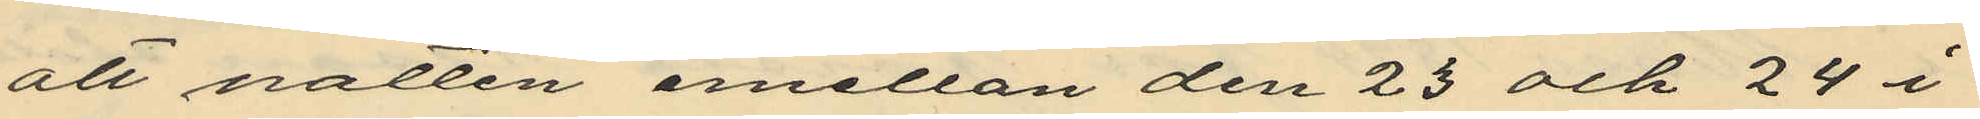att natten emellan den 23 och 24 i
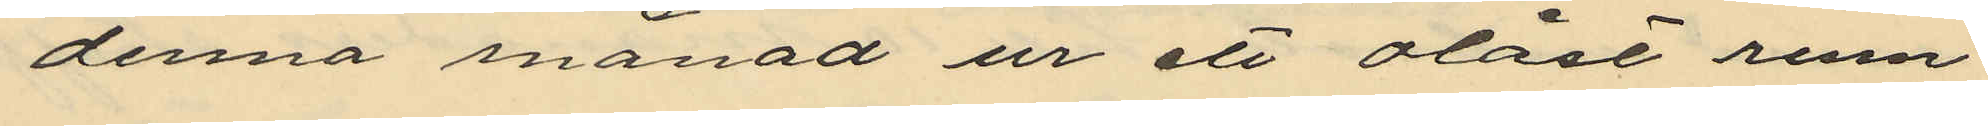denna månad ur ett olåst rum
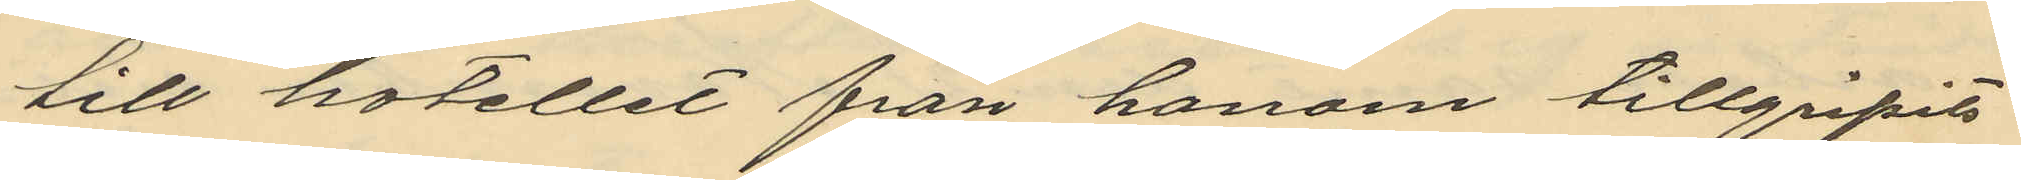till hotellet från honom tillgripits
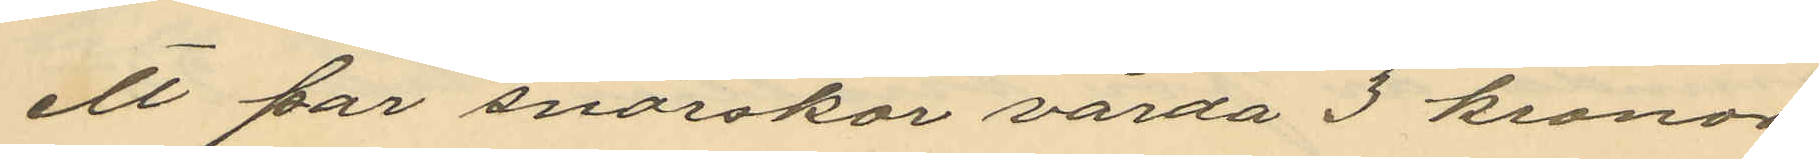ett par snörskor värda 3 kronor
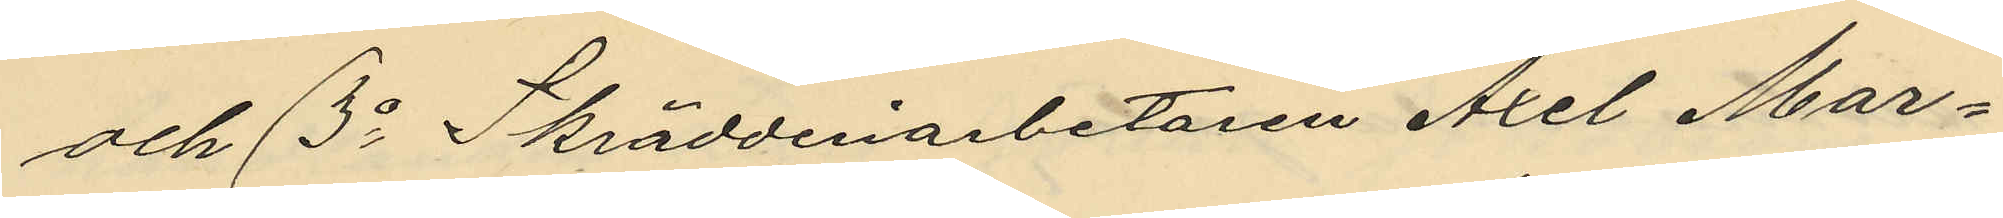och 3o Skrädderiarbetaren Axel Mar¬
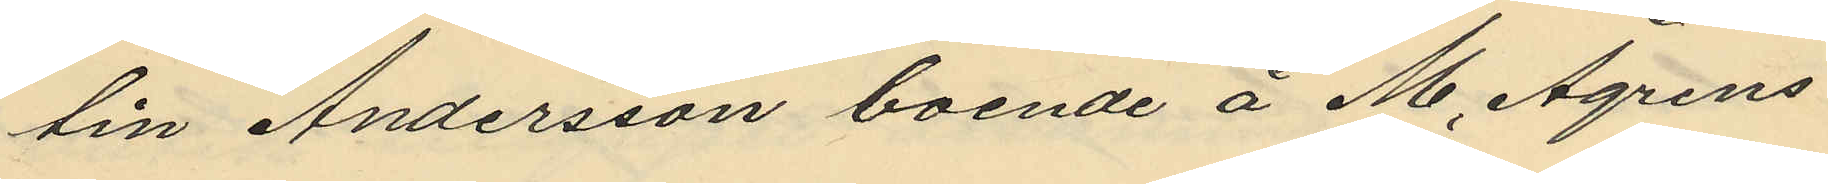tin Andersson boende å M. Ågrens
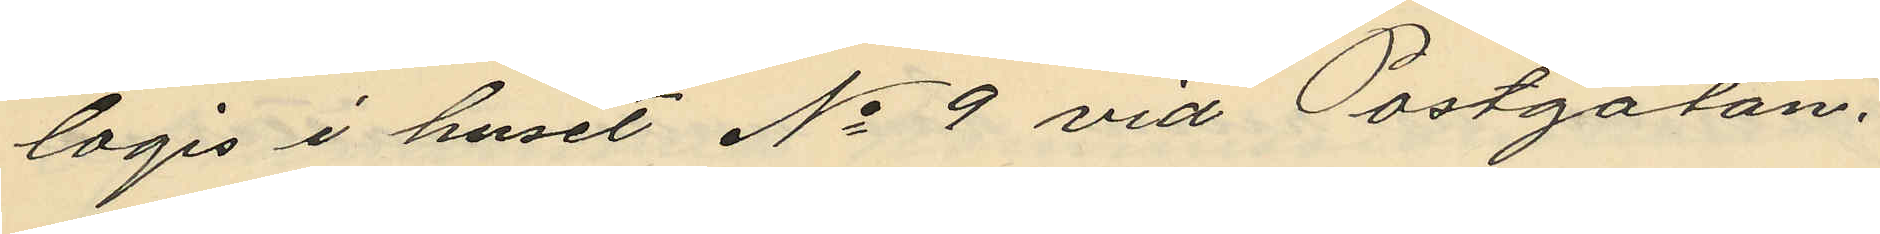logis i huset No 9 vid Postgatan.
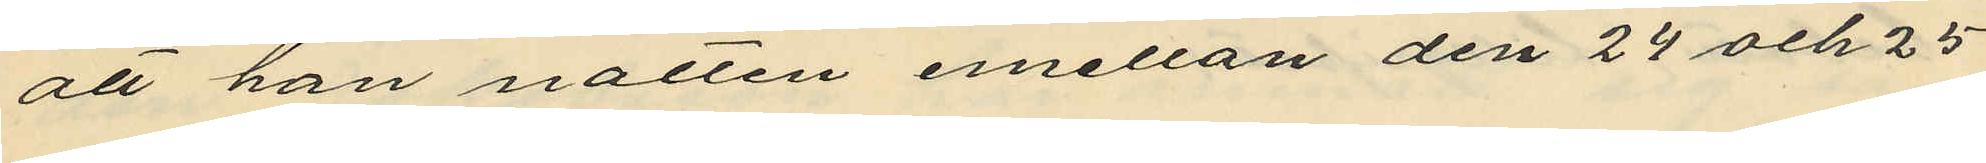att han natten emellan den 24 och 25
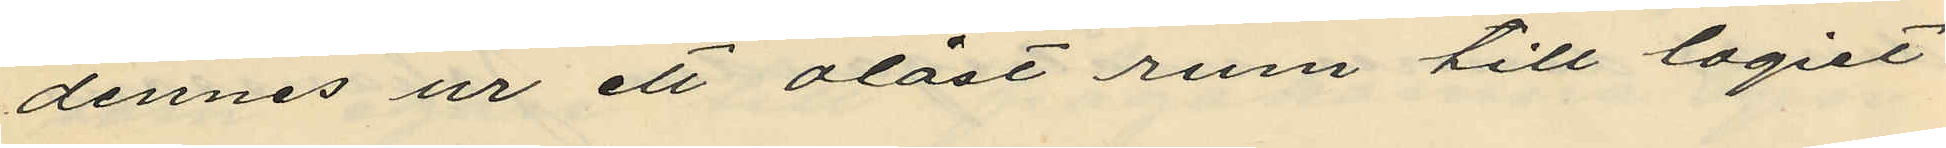dennes ur ett olåst rum till logiet
